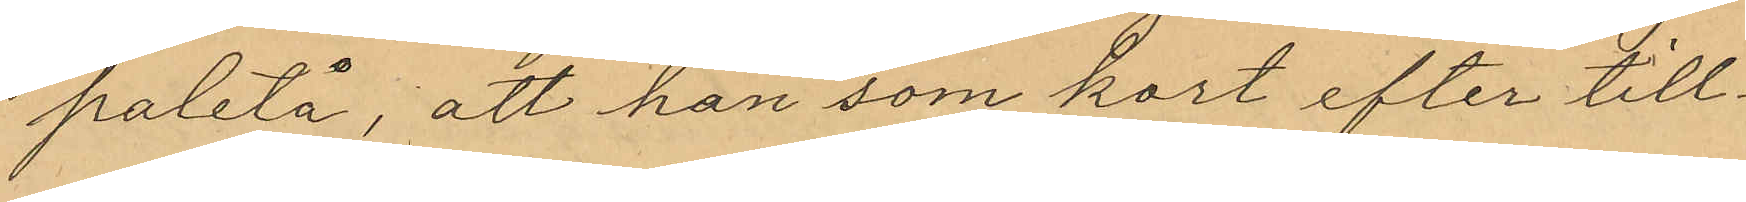paletå, att han som kort efter till¬
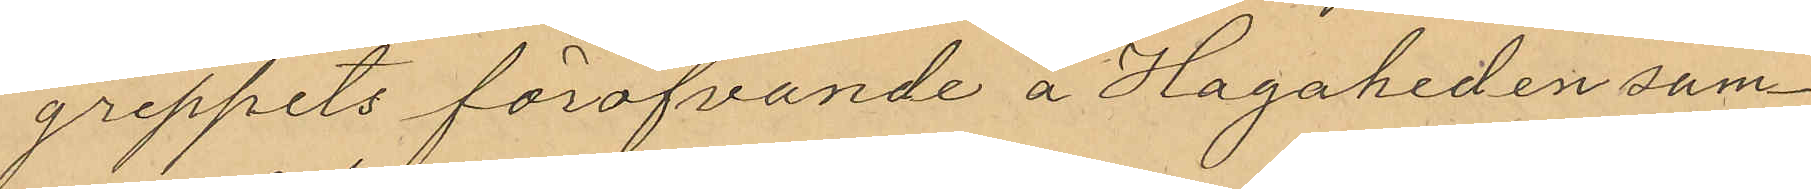greppets föröfvande å Hagaheden sam¬
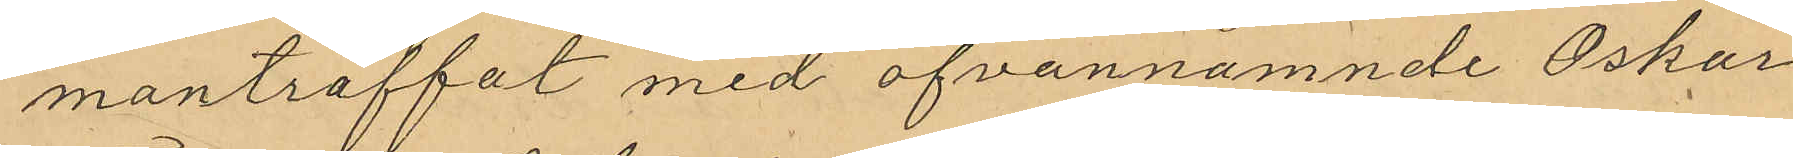manträffat med ofvannamnde Oskar
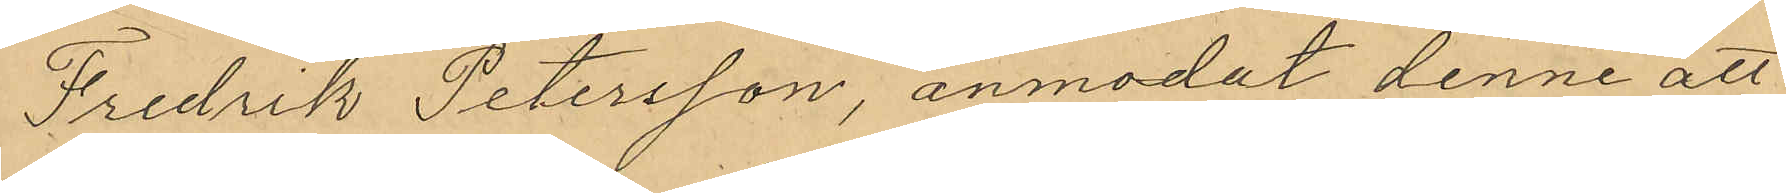Fredrik Petersson, anmodat denne att
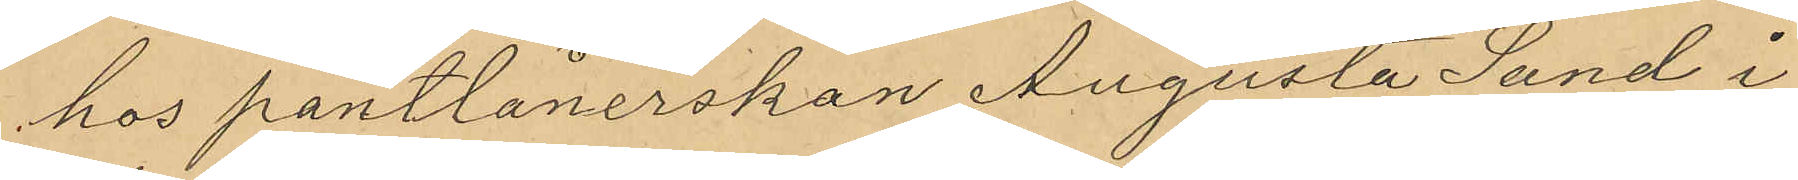hos pantlånerskan Augusta Sand i
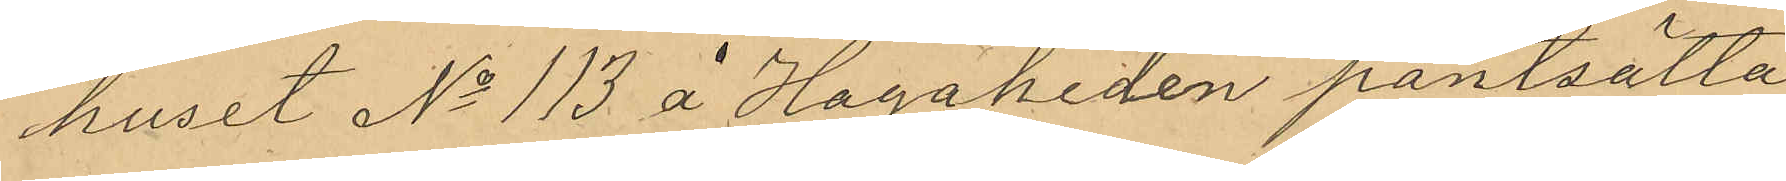huset No 113 å Hagaheden pantsätta
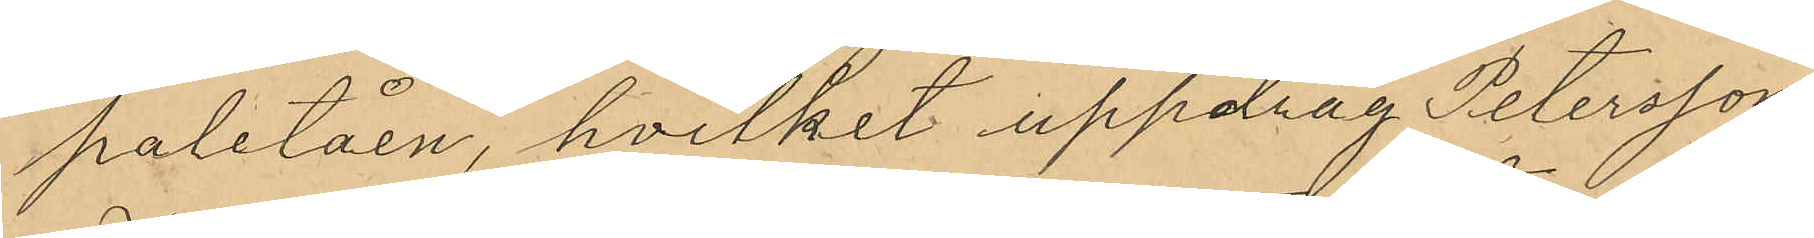paletåen, hvilket uppdag Petersson
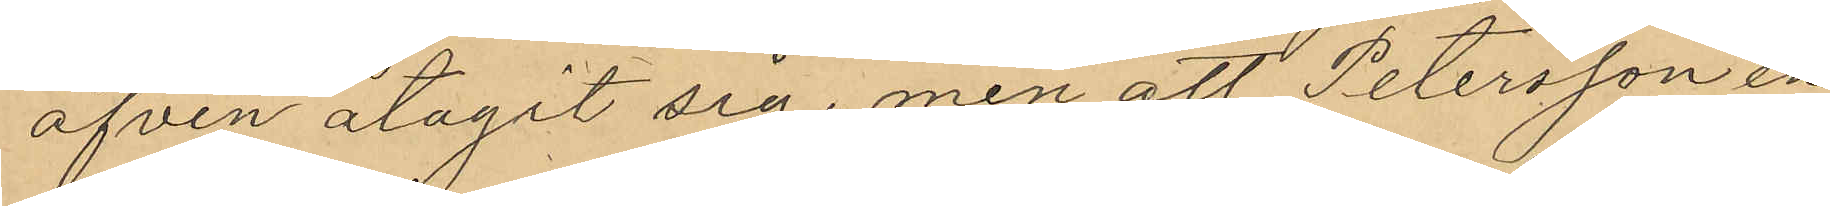äfven åtagit sig, men att Petersson en
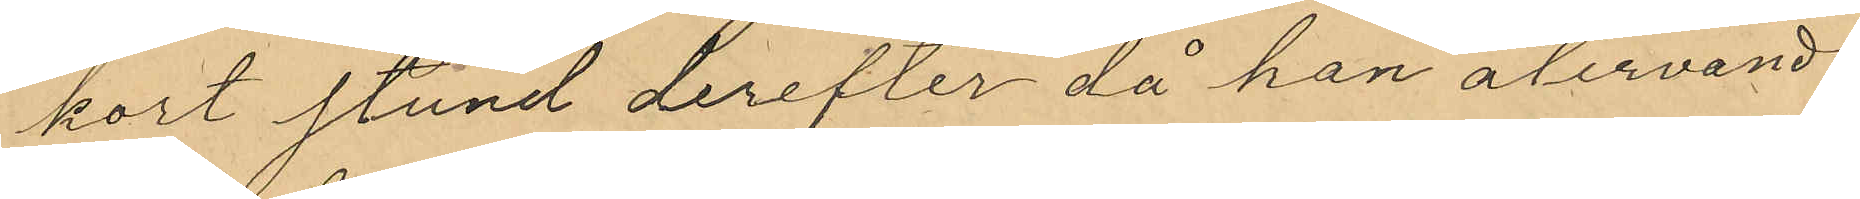kort stund derefter då han återvandt
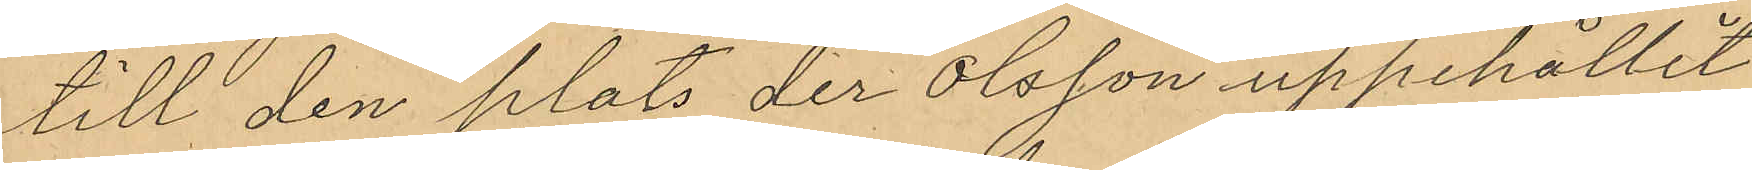till den plats der Olsson uppehållit
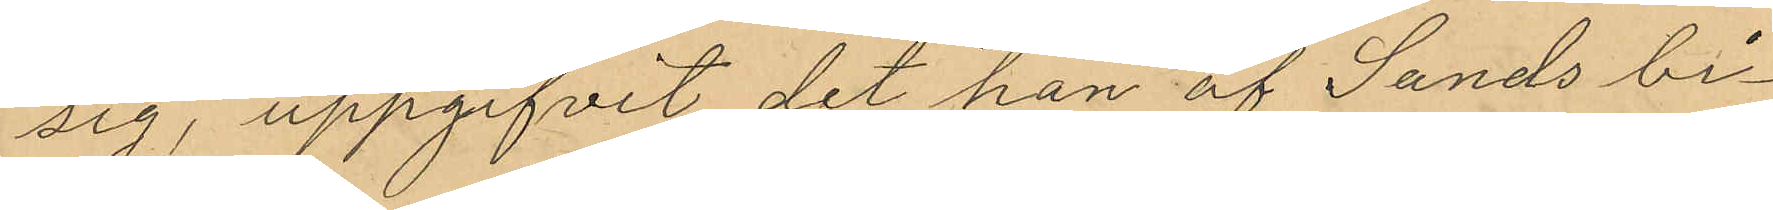sig, uppgifvit det han af Sands bi¬
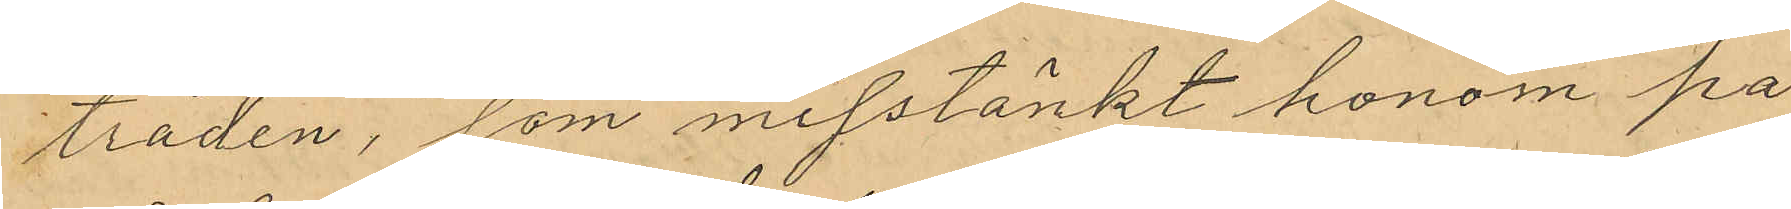träden, som misstänkt honom på
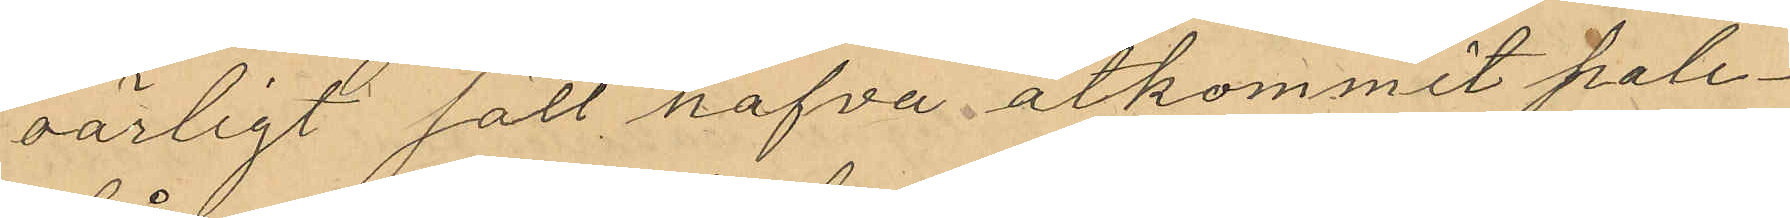oärligt sätt hafva åtkommit pale¬
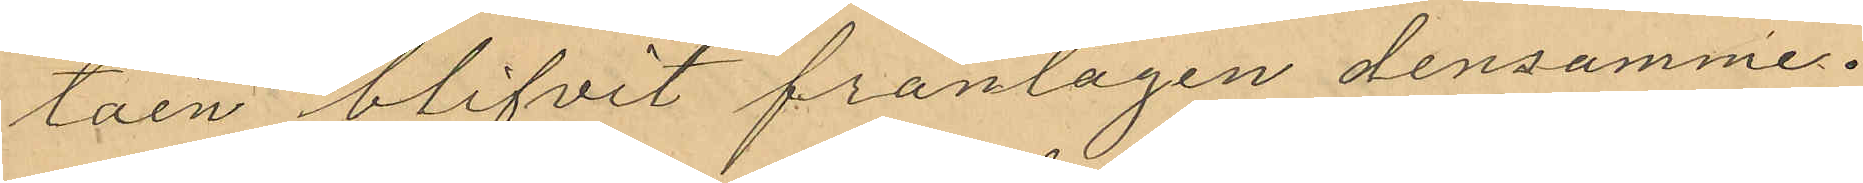tåen blifvit fråntagen densamme.
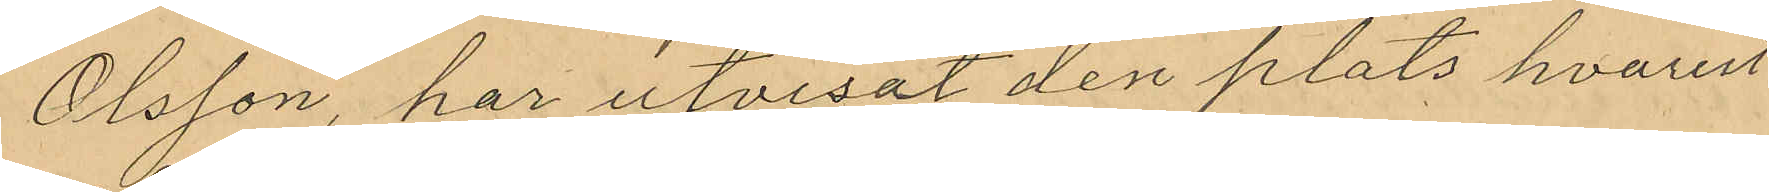Olsson, har utvisat den plats hvarut
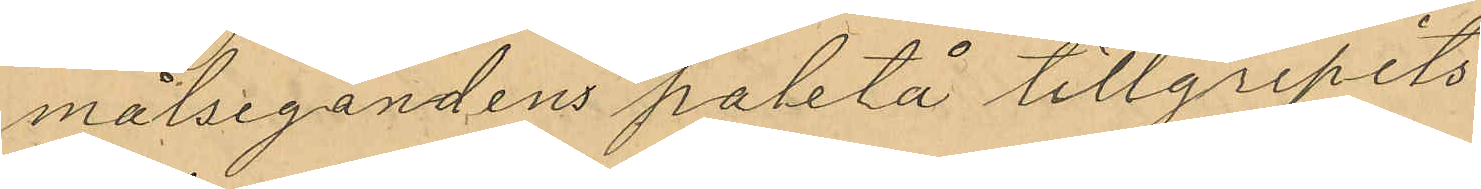målsegandens paletå tillgripits
